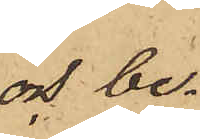och be¬
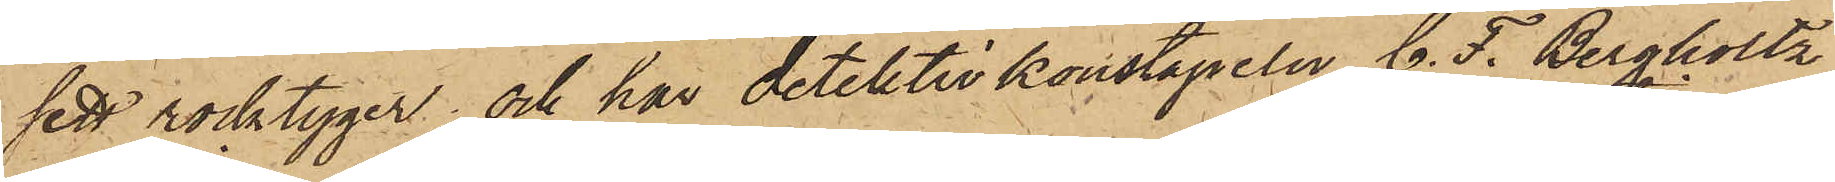sett rocktyger; och har detektivkonstapeln C. F. Bergholtz
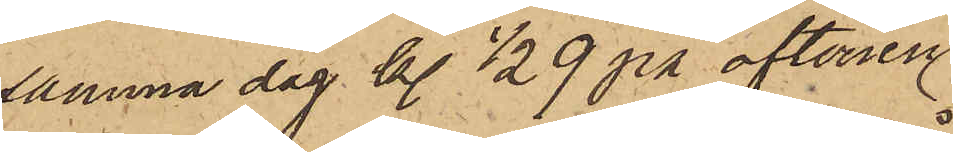samma dag kl. 1/2 9 på aftonen
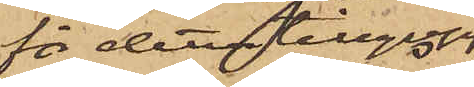för detta tillgrepp
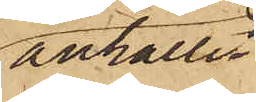anhållit
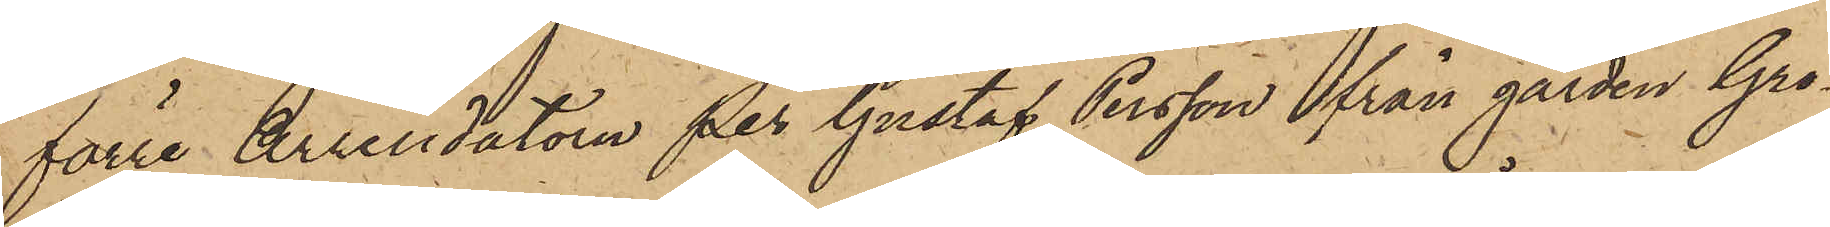förre Arrendatorn Per Gustaf Persson från gården Gro¬
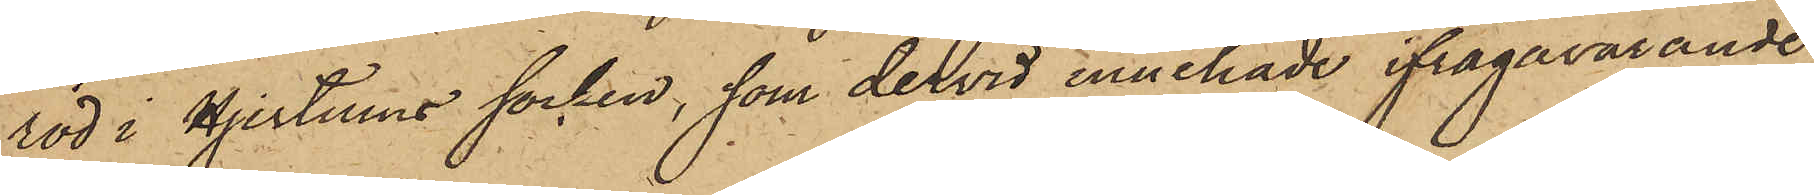röd i Hjertums socken, som dervid innehade ifrågavarande
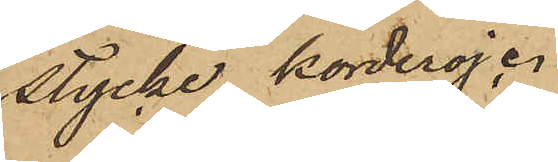stycke korderoj.
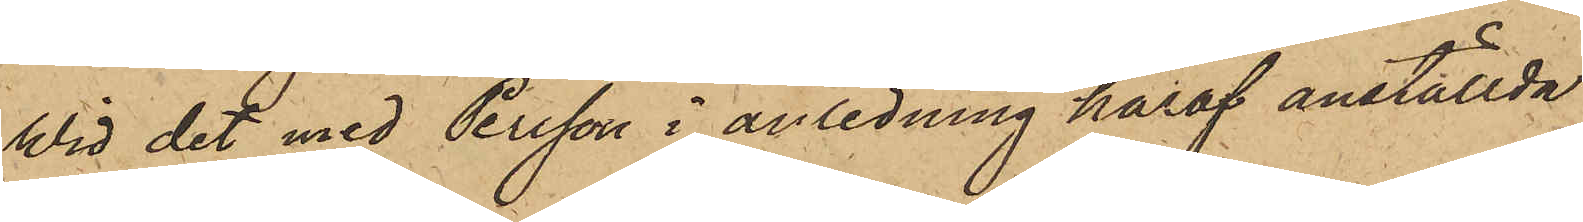Wid det med Persson i anledning häraf anställda
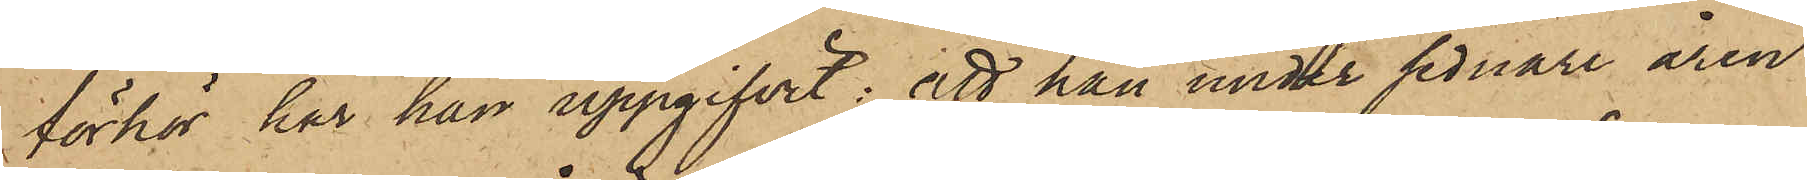förhör har han uppgifvit: att han under sednare åren
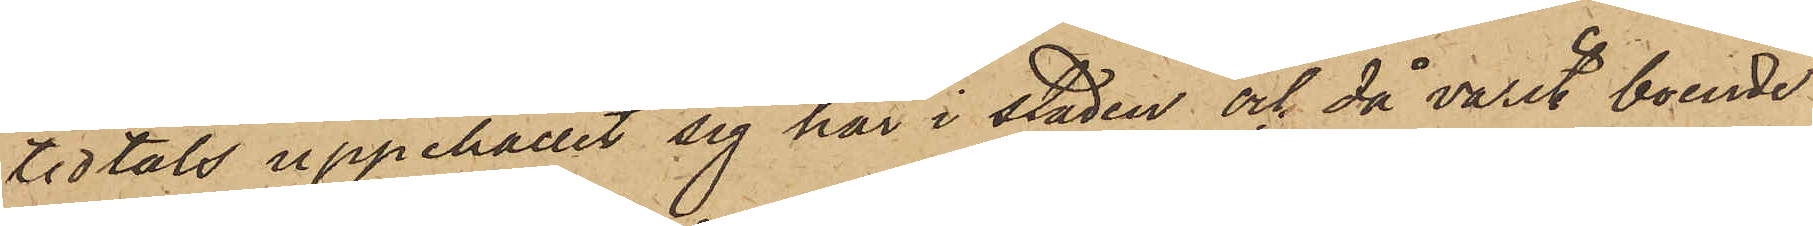tidtals uppehållit sig här i staden och då varit boende
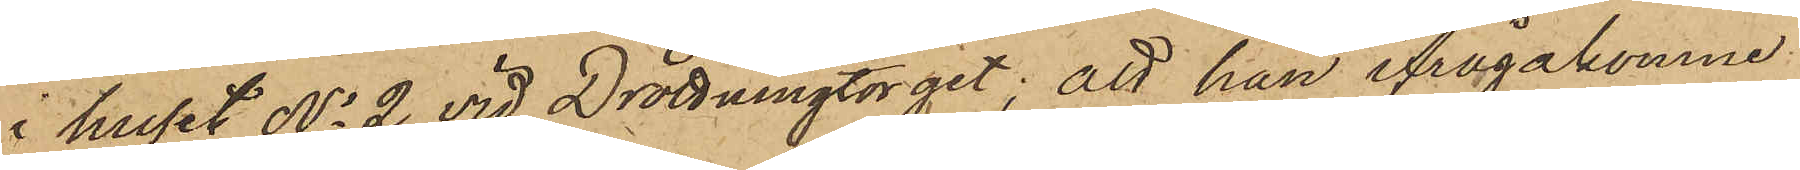i huset No 2 vid Drottningtorget; att han ifrågakomne
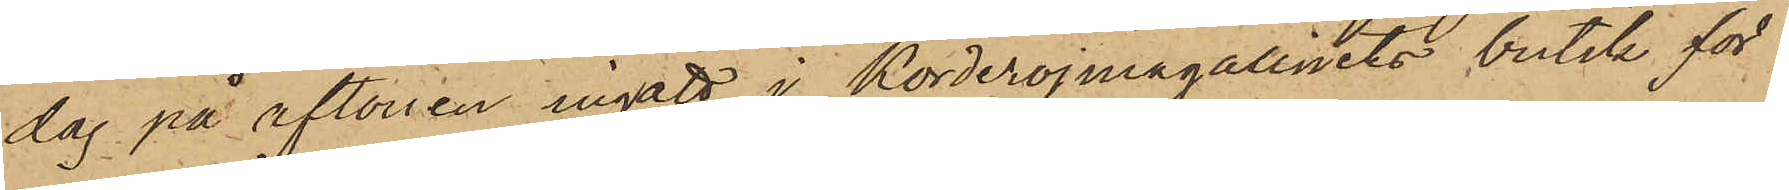dag på aftonen ingått i Korderojmagasinets butik för
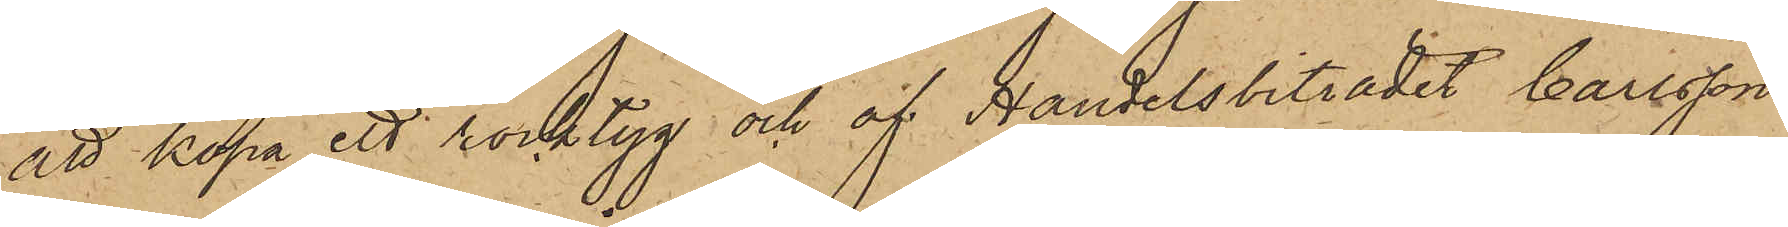att köpa ett rocktyg och af Handelsbiträdet Carlsson
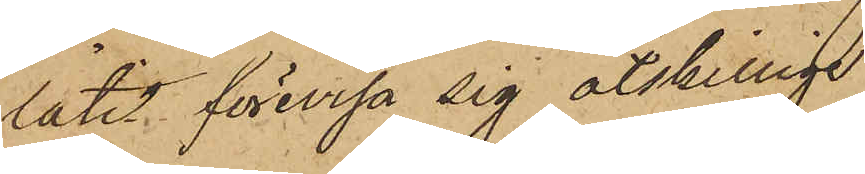låtit förevisa sig åtskillige
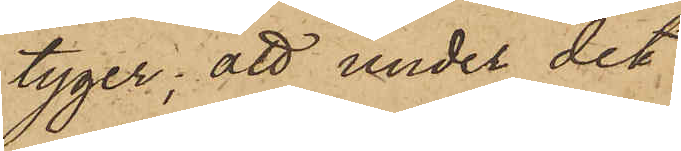tyger; att under det
